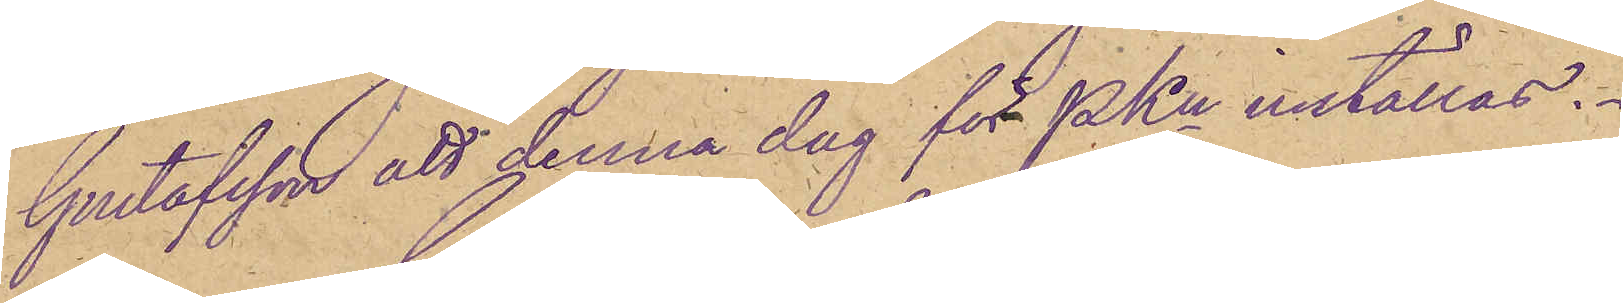Gustafsson att denna dag för PKn inställas.
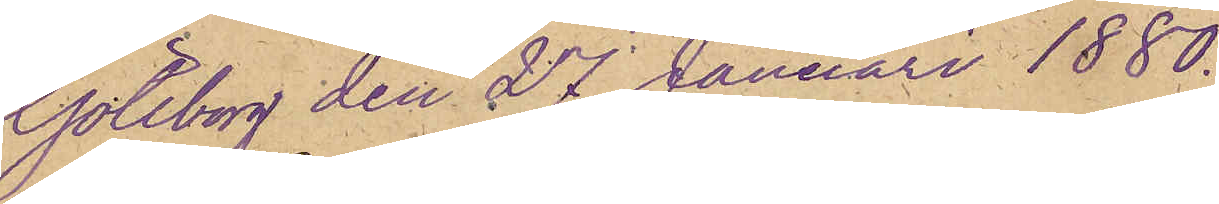Göteborg den 27 Januari 1880.
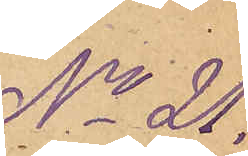No 21.
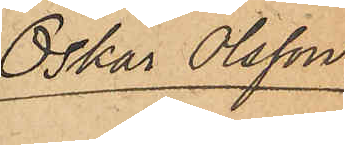Oskar Olsson.
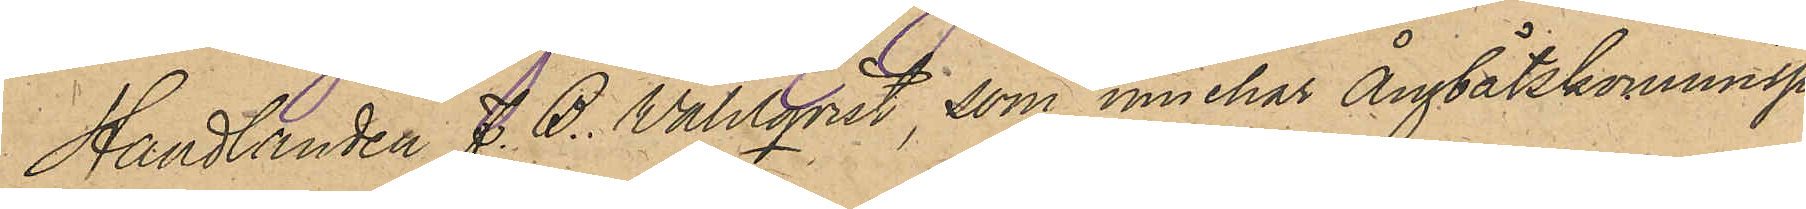Handlanden J. B. Wahlqvist, som innehar Ångbåtskommissio¬
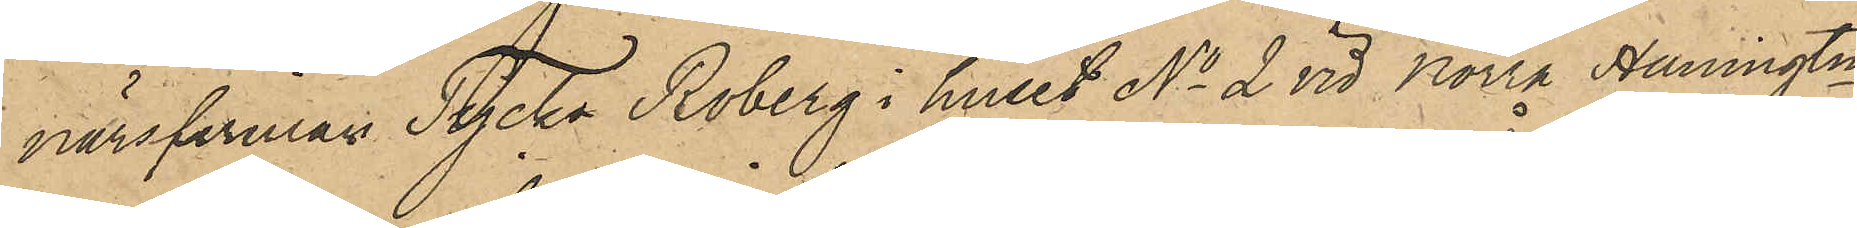närsfirman Tycko Roberg i huset No 2 vid Norra Hamngtn,
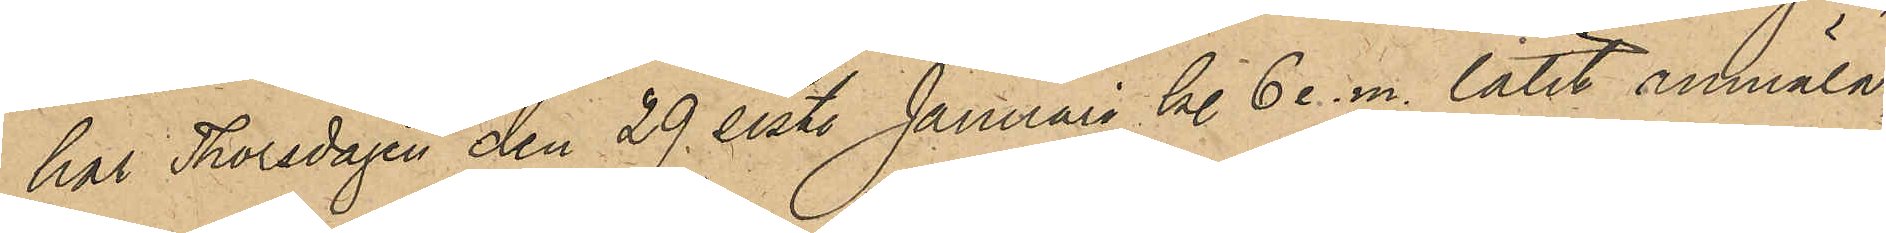har Thorsdagen den 29 sistl Januari kl 6 e.m. låtit anmäla,
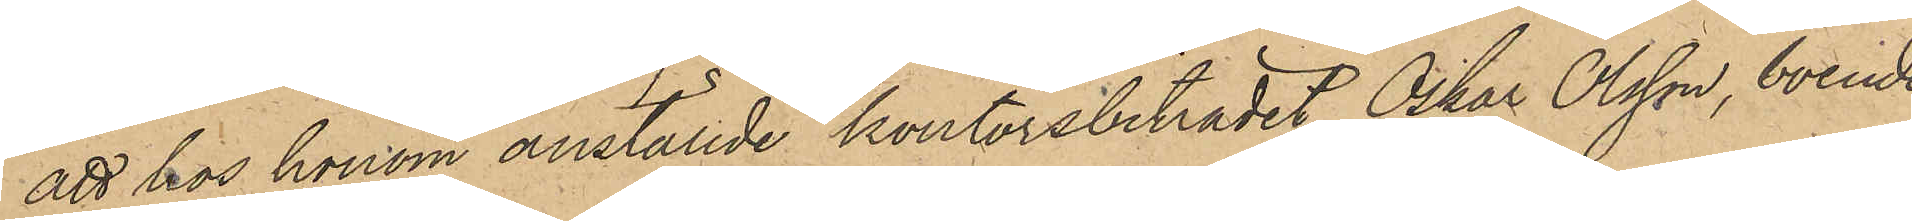att hos honom anställde kontorsbiträdet Oskar Olsson, boende
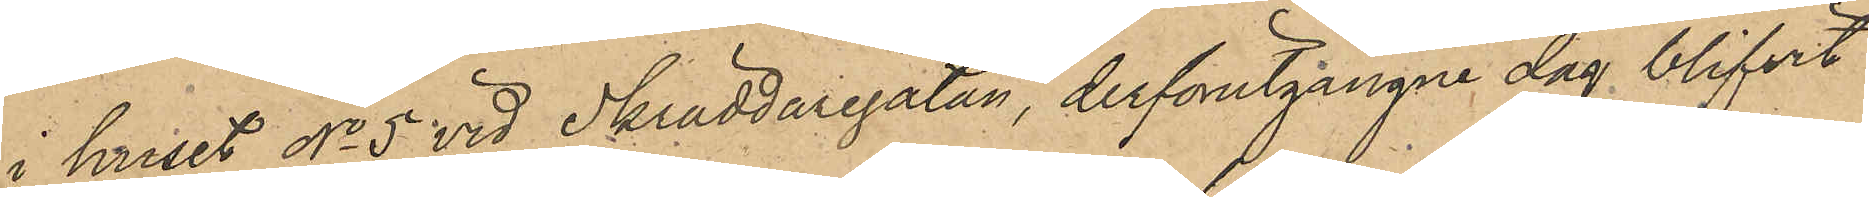i huset No 5 vid Skräddaregatan, derförutgångne dag blifvit
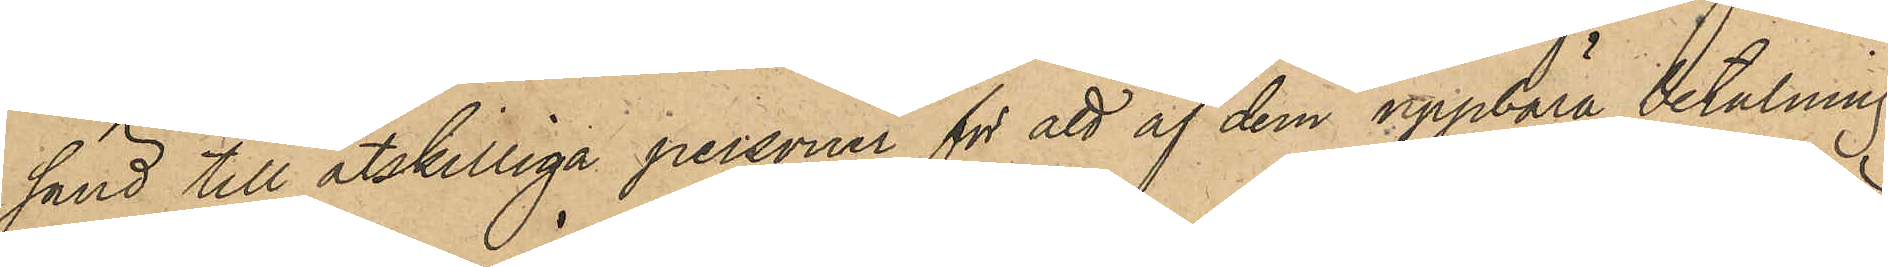sänd till åtskilliga personer för att af dem uppbära betalning
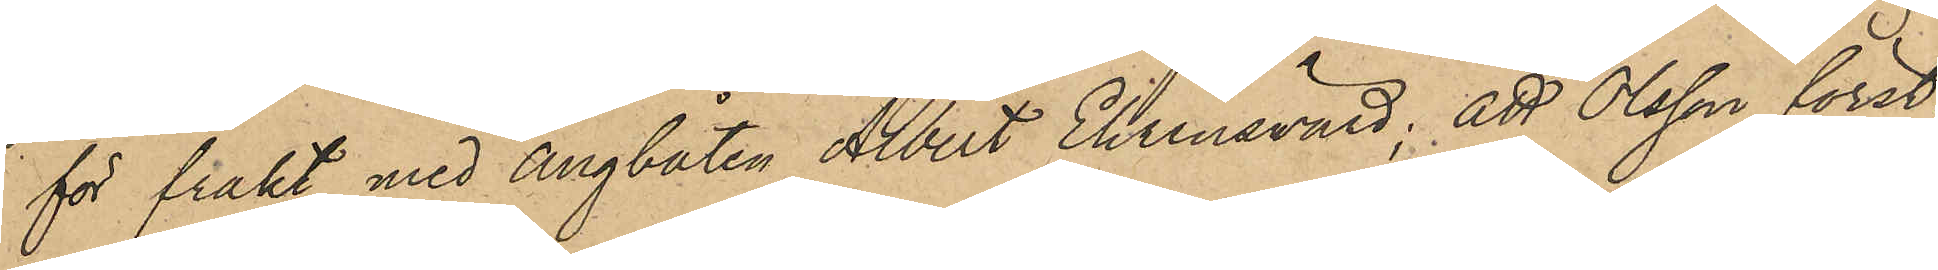för frakt med ångbåten Albert Ehrenswärd; att Olsson först¬
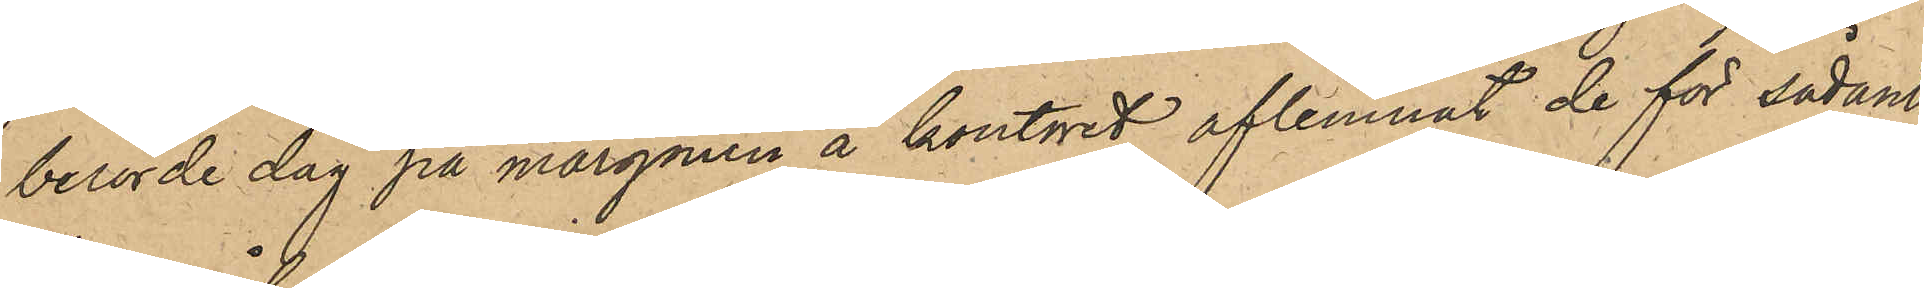berörde dag på morgonen å kontoret aflemnat de för sådant
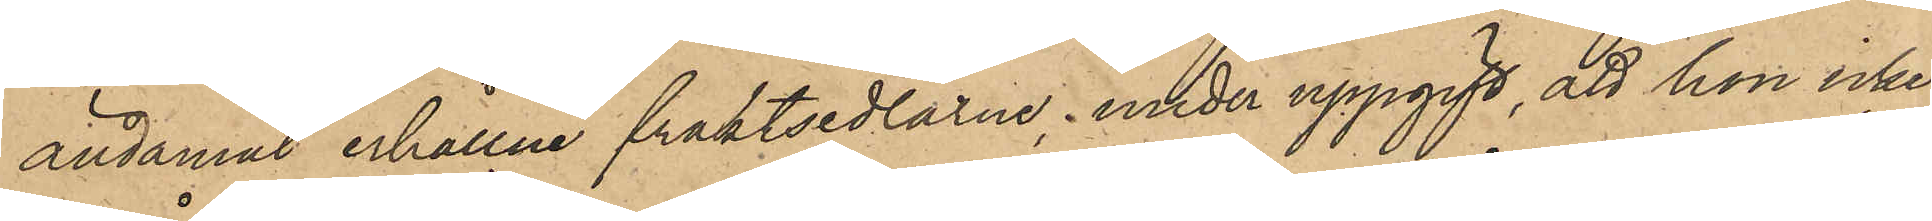ändamål erhållne fraktsedlarne, under uppgift, att han icke
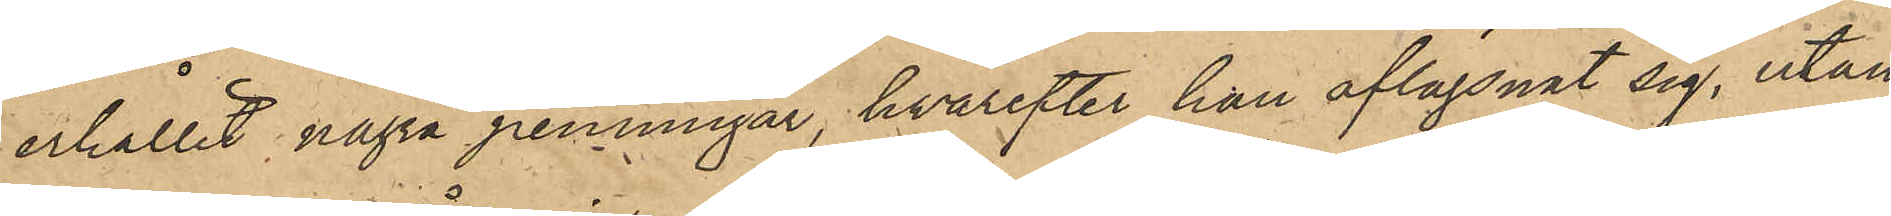erhållit några penningar, hvarefter han aflägsnat sig, utan
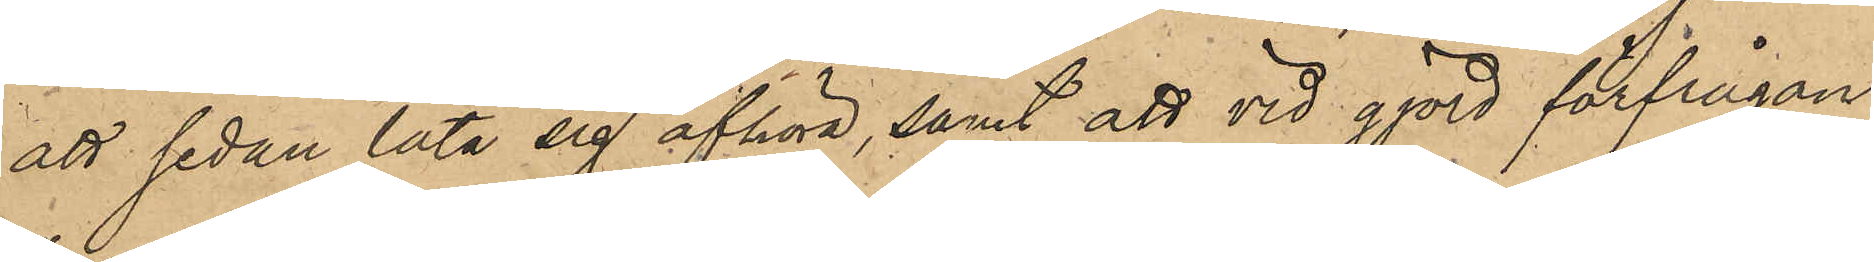att sedan låta sig afhöra, samt att vid gjord förfrågan
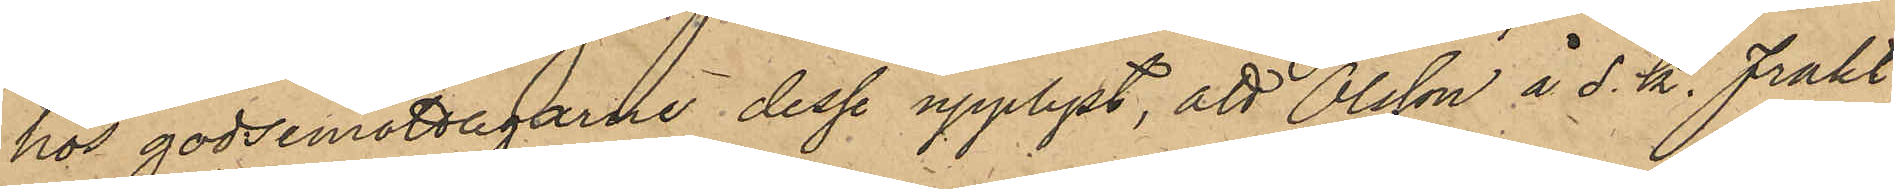hos godsmottagarne desse upplyst, att Olsson å s. k. frakt¬
